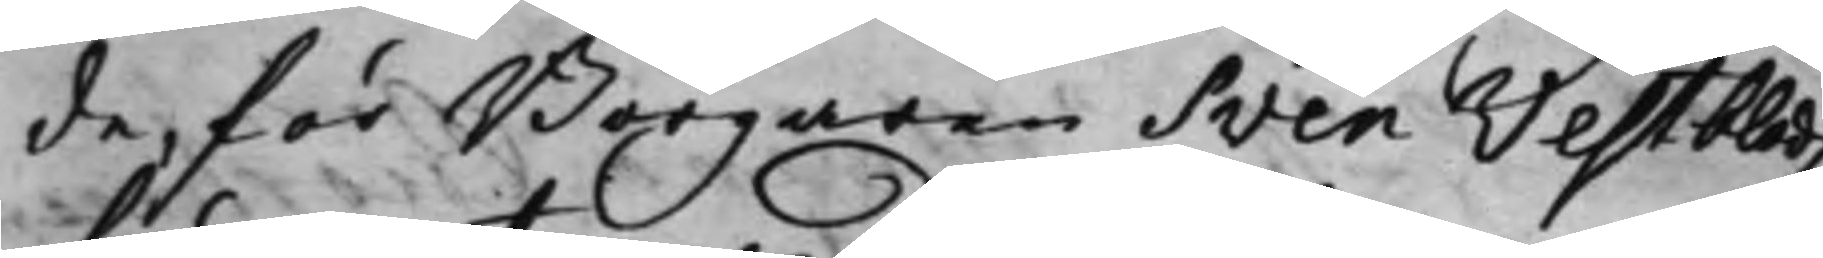de, för Borgaren Sven Westbladz
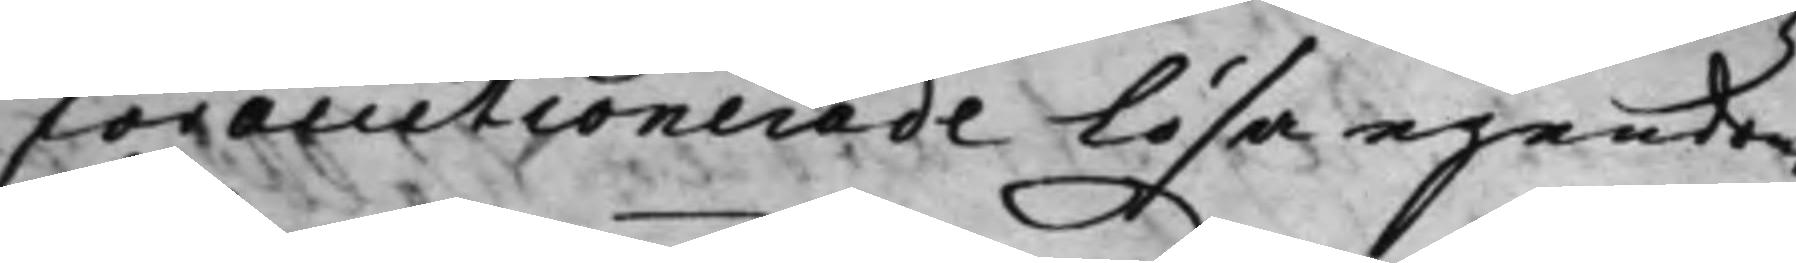förauctionerade lösa egendom
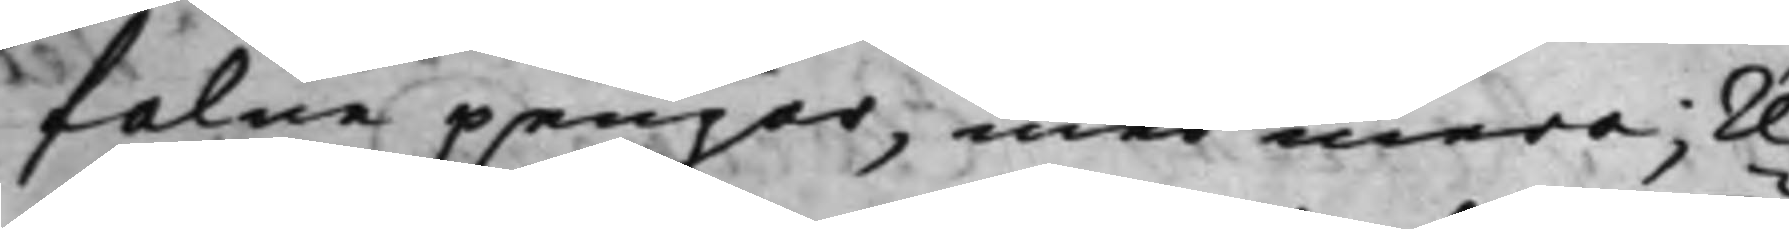falne pengar, med mera; re¬
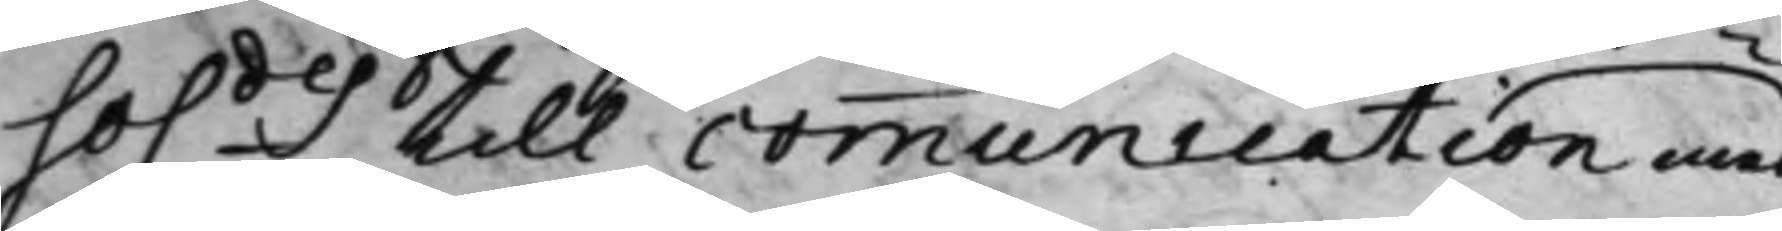so.des till communication med
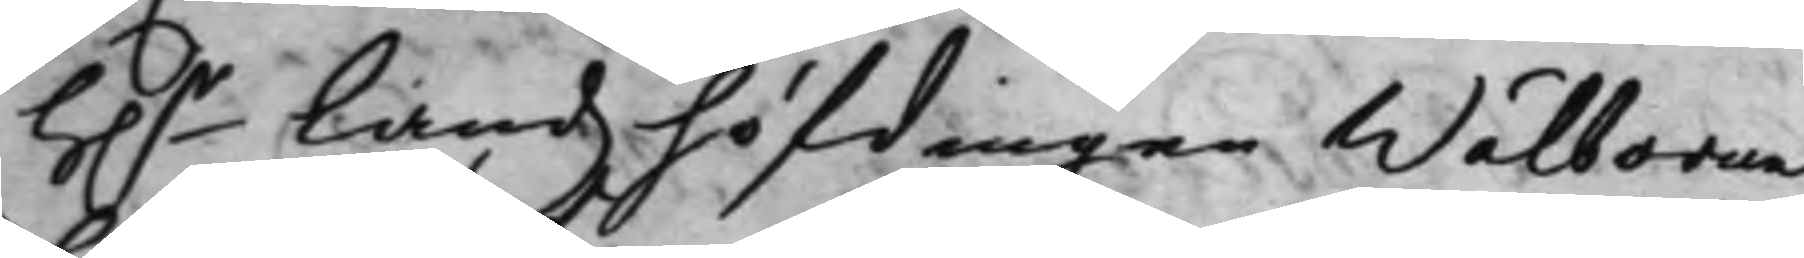H.r Landzhöfdingen Wälborne
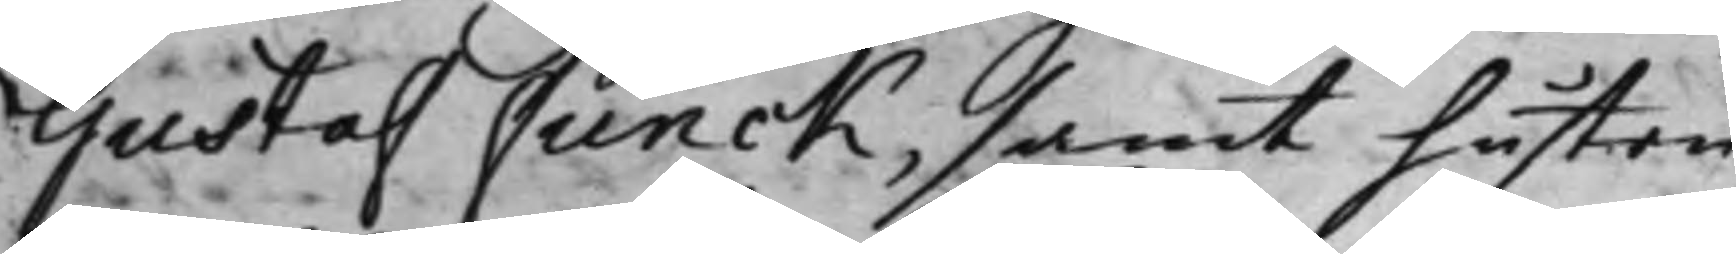Gustaf Funck, samt hustru
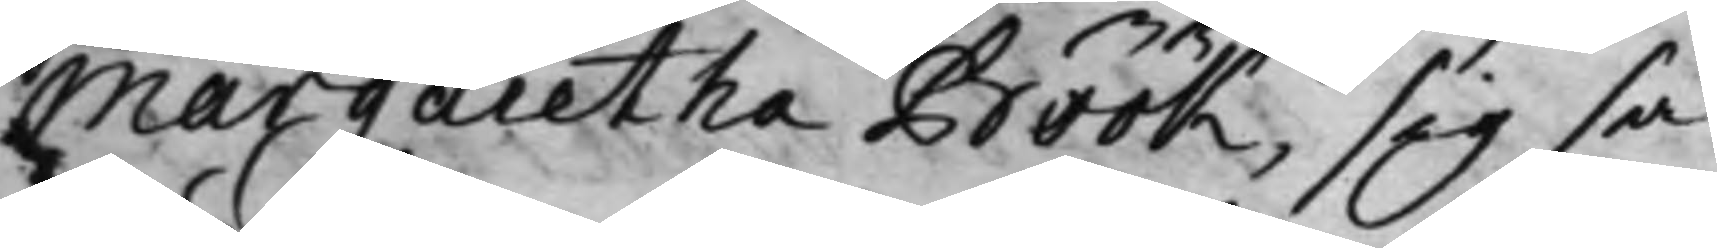Margaretha Böök, sig så
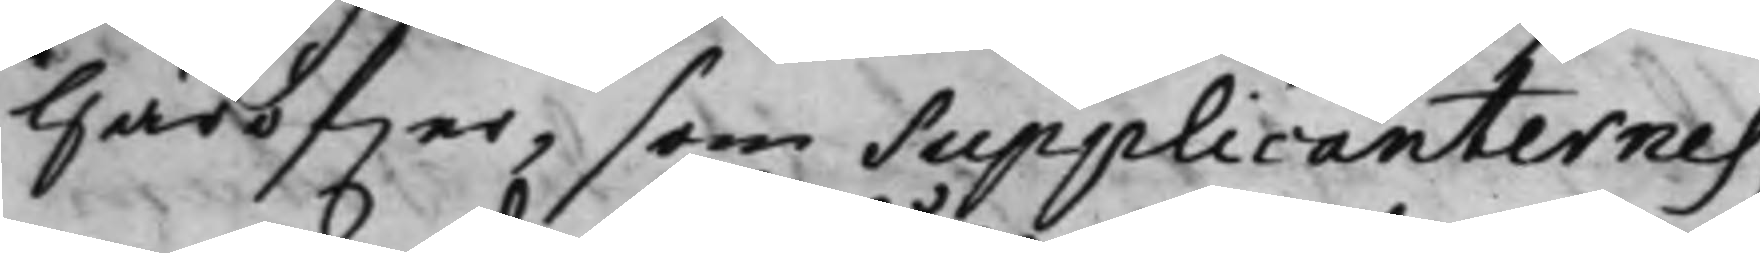Häröfwer, som Supplicanternes,
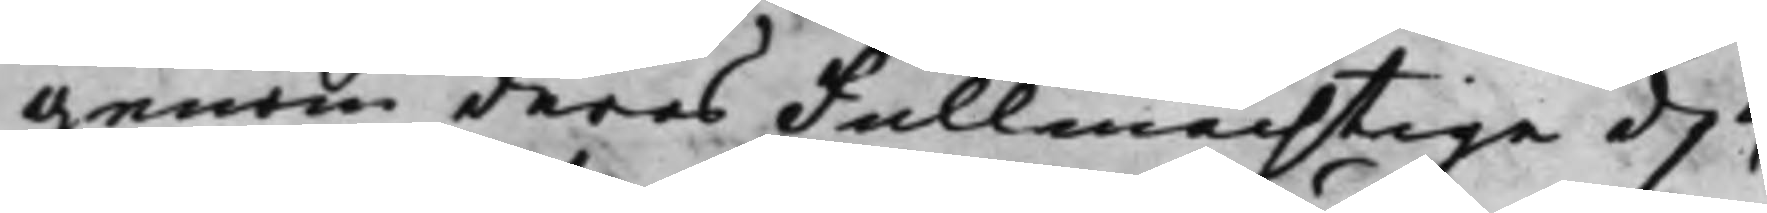genom deras Fullmächtige d. 4
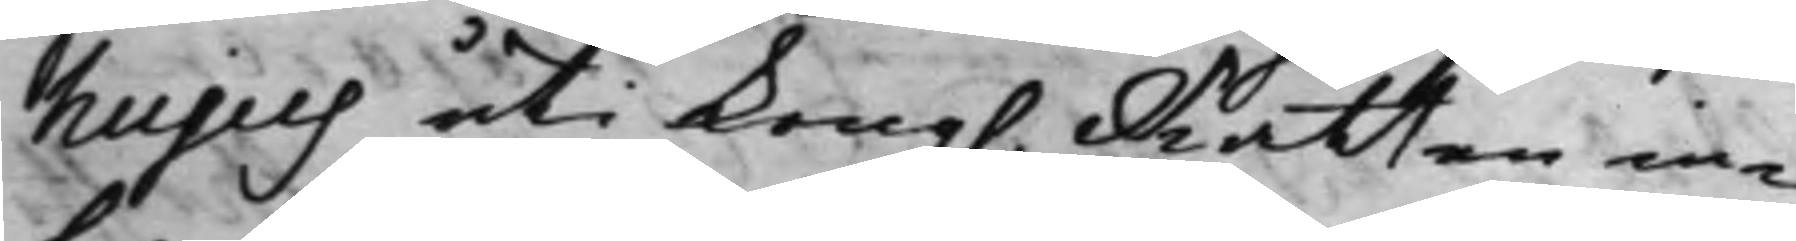hujus uti Kong. Rätten in¬
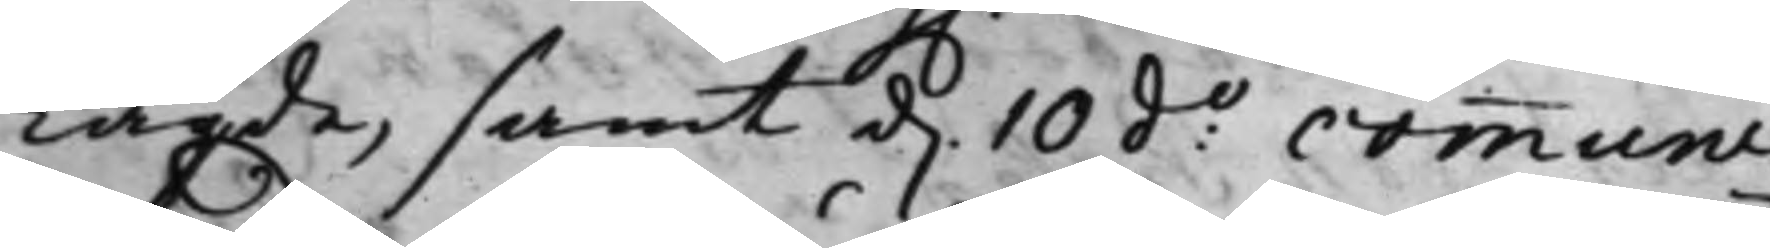Lagde, samt d. 10 d:o communi¬
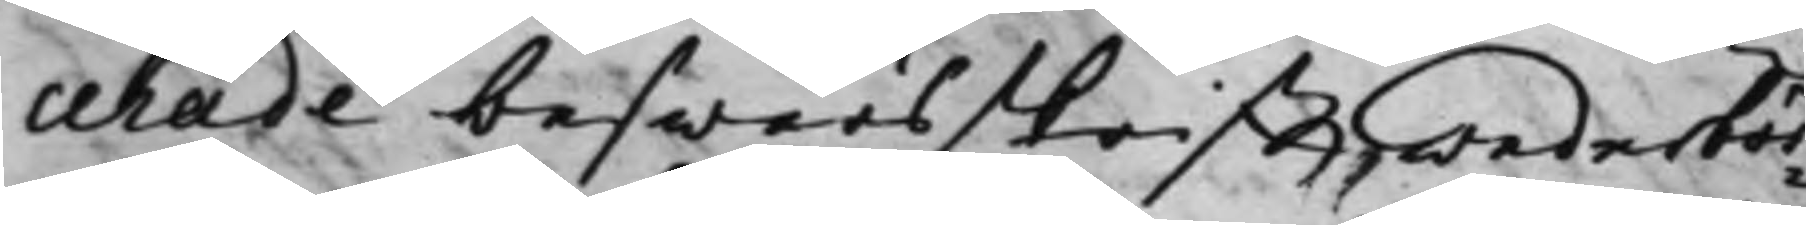cerade beswärsskrifft wederbör¬
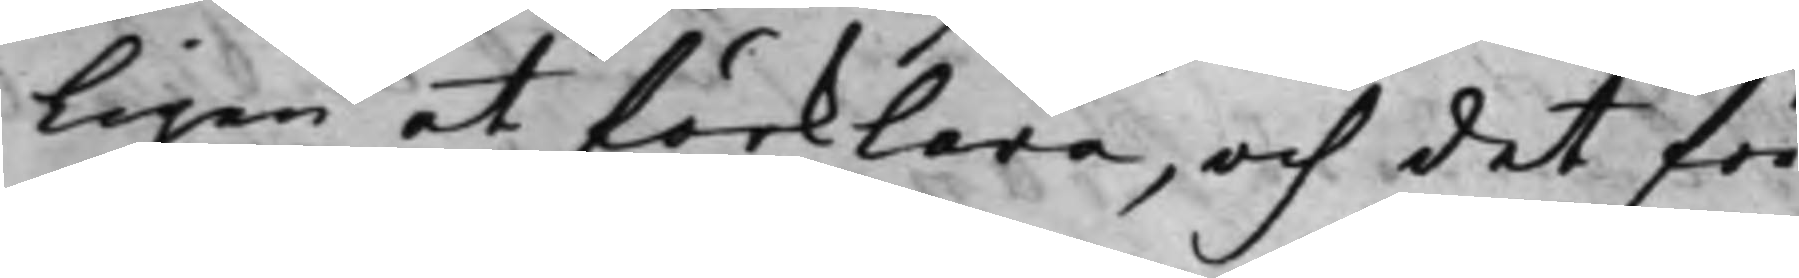ligen at förklara, och det för
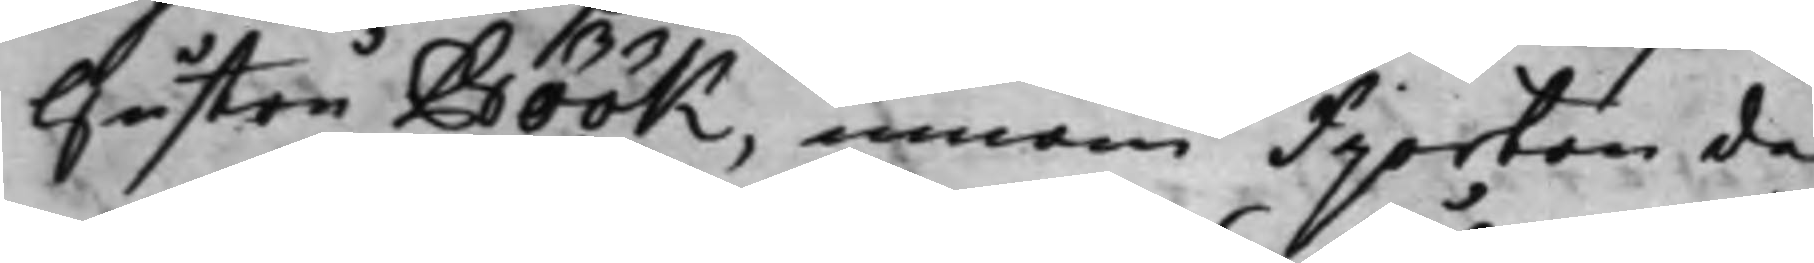Hustru Böök, innom fiorton da¬
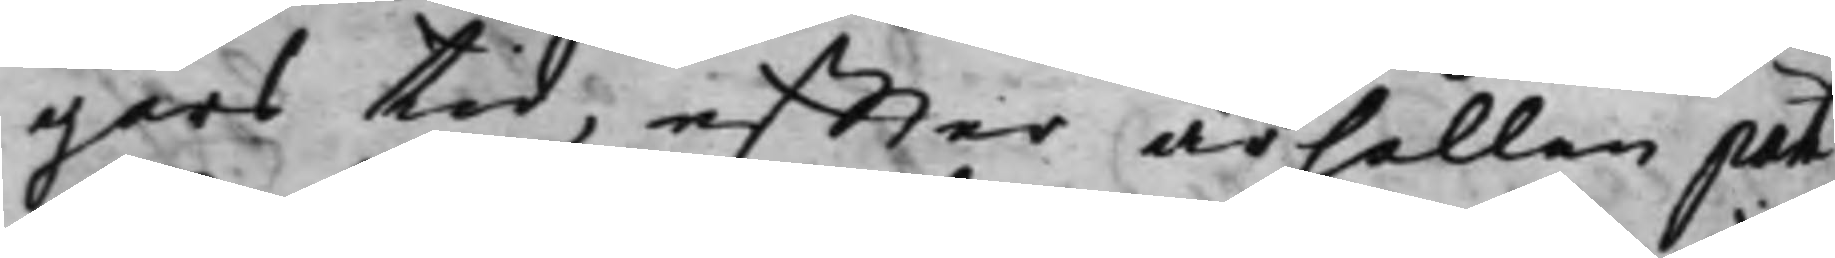gars tid, effter ärhållen part
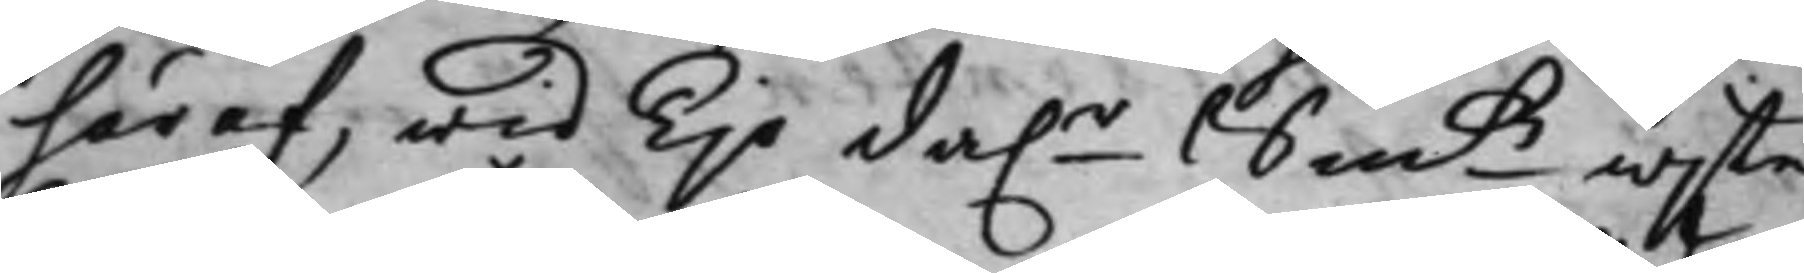häraf, wid Tijo da.r Smtz wijte.
